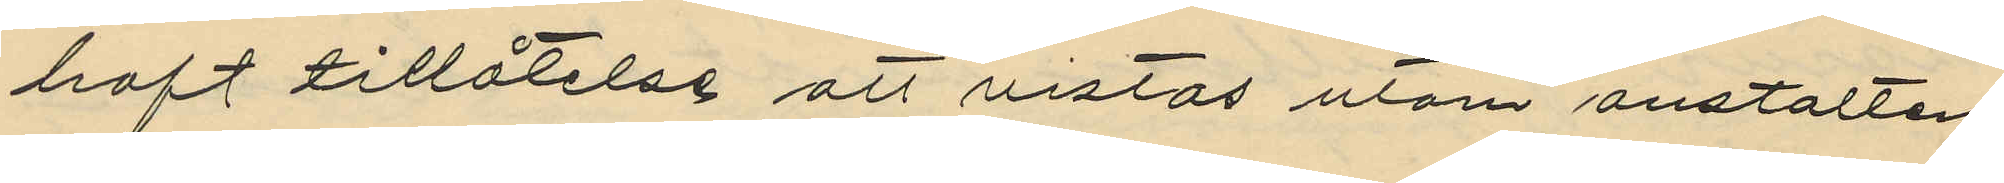haft tillåtelse att vistas utom anstalten
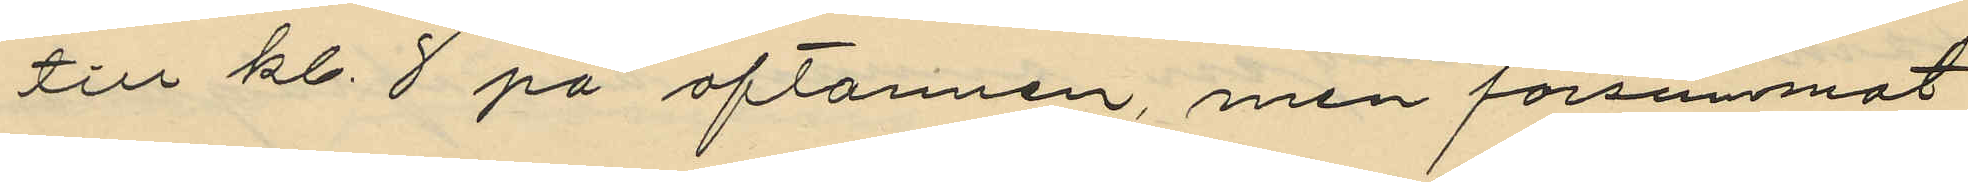till kl. 8 på aftonnen, men försummmat
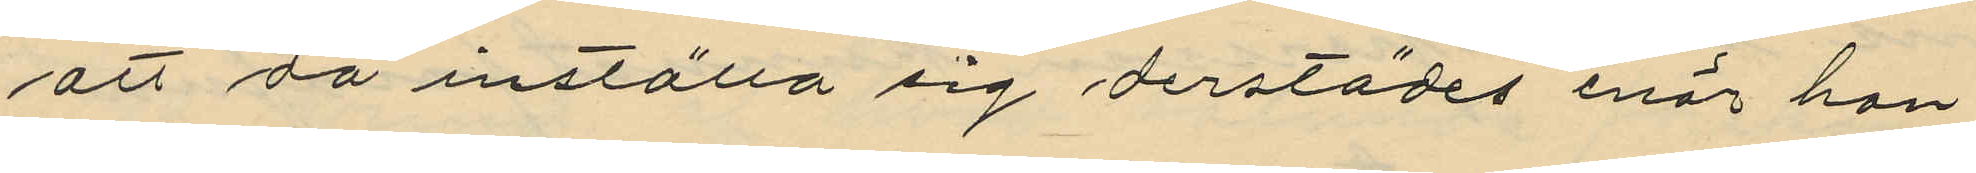att då inställa sig derstädes enär han
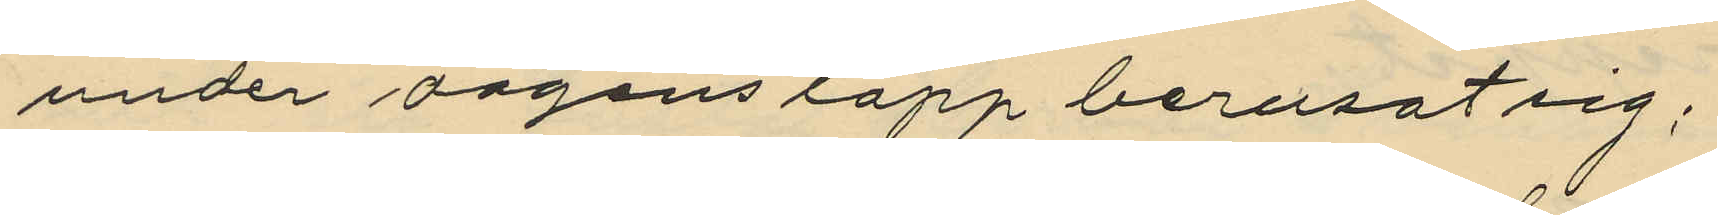under dagens lopp berusat sig;
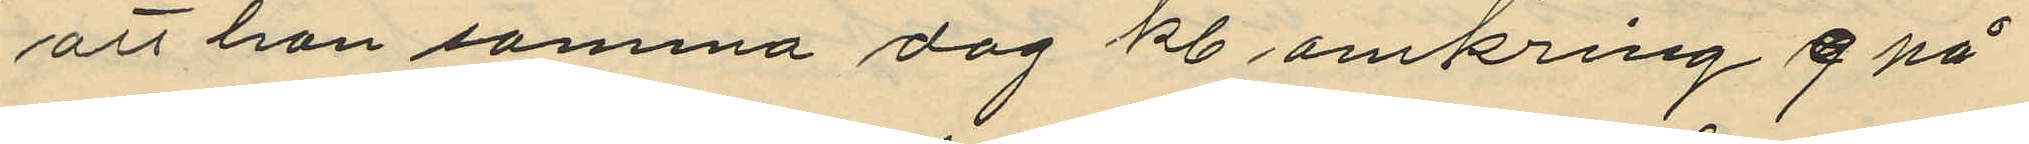att han samma dag kl omkring 9 på
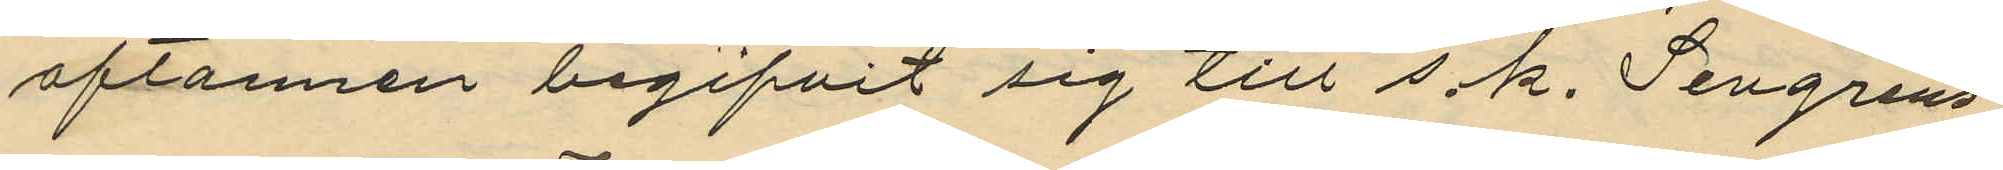aftonnen begifvit sig till s.k. Tengrens
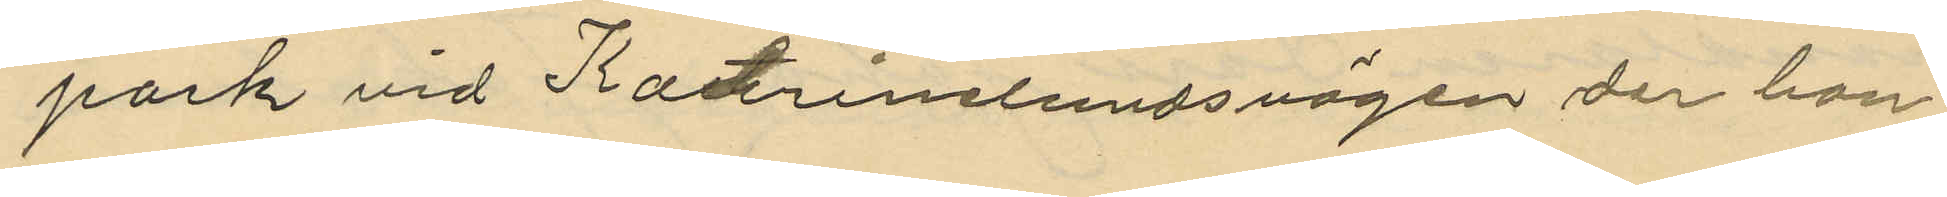park vid Katrinelundsvägen der han
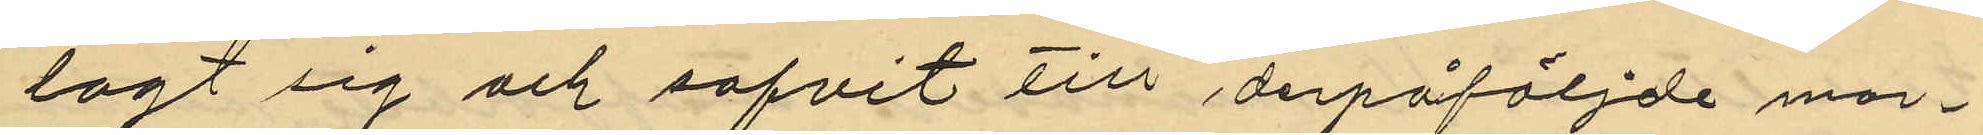lagt sig och sofvit till derpåföljde mor¬
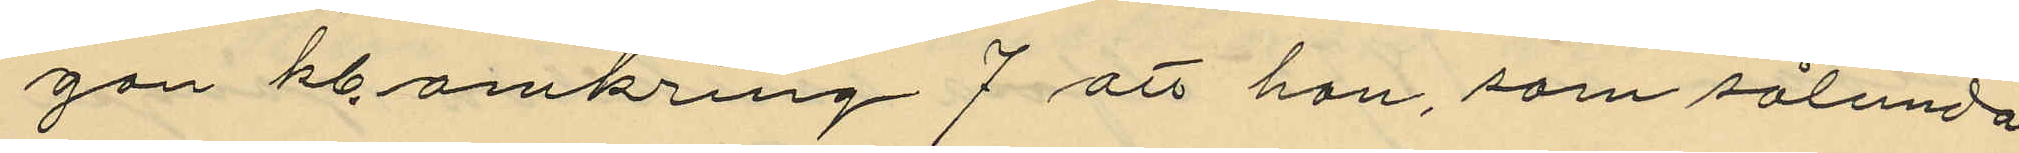gon kl. omkring 7 att han, som sålunda
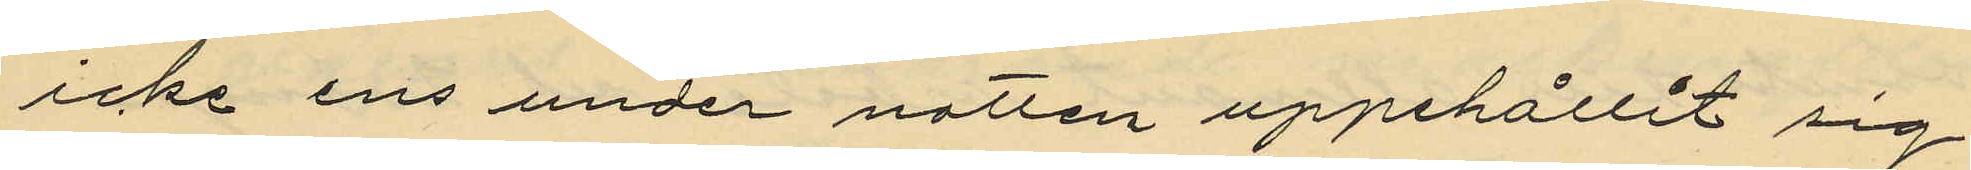icke ens under natten uppehållit sig
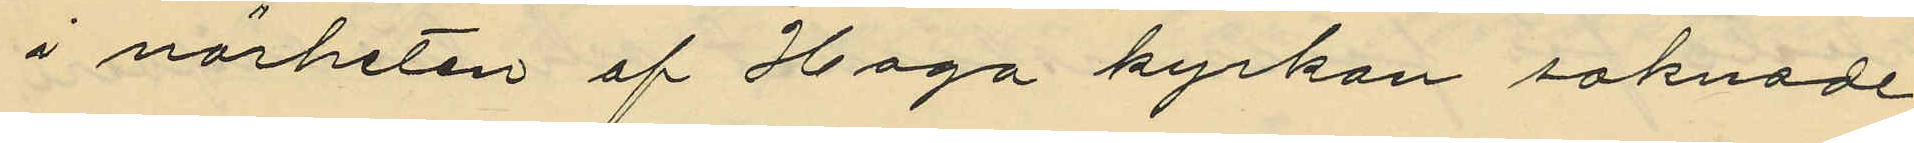i närheten af Haga kyrkan saknade
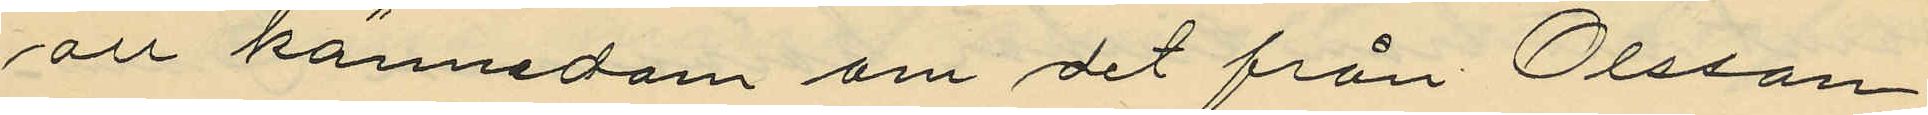all kännedom om det från Olsson
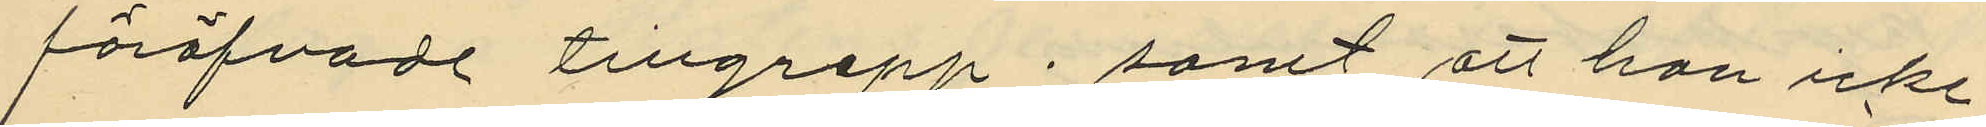föröfvade tillgrepp; samt att han icke
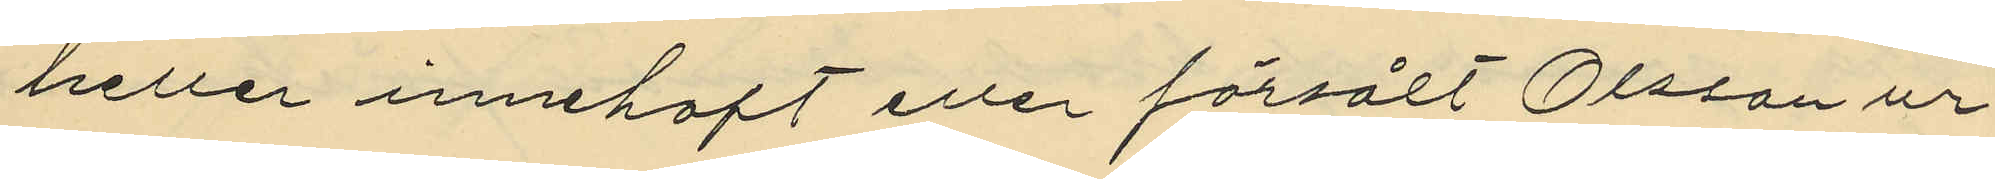heller innehaft eller försålt Olssons ur.
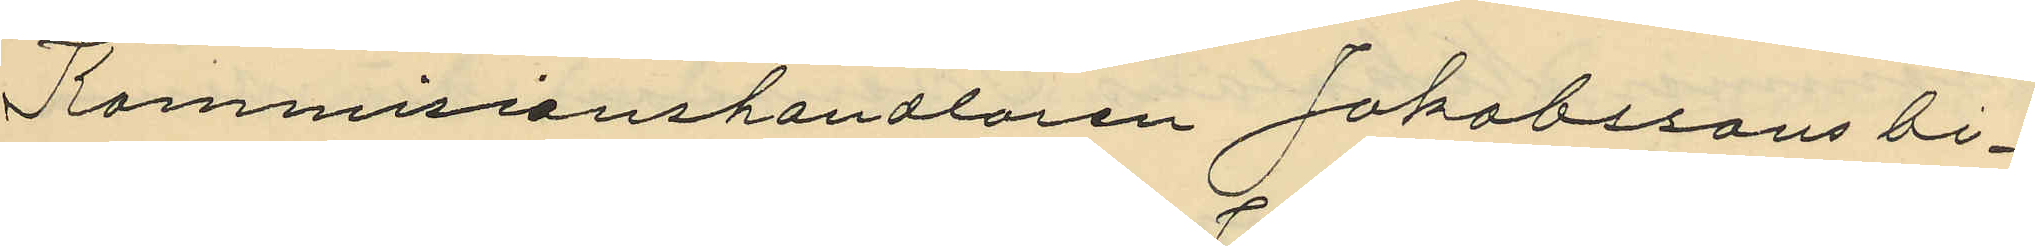Kommisionshandlaren Jakobssons bi¬
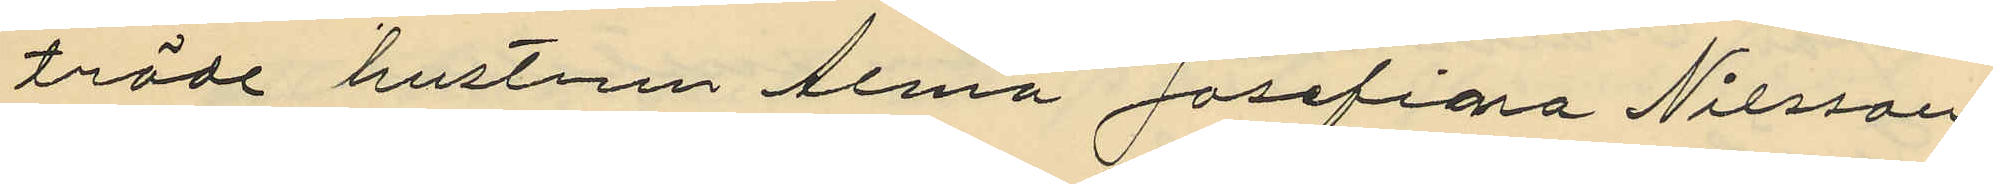träde hustrun Alma Josefina Nilsson
